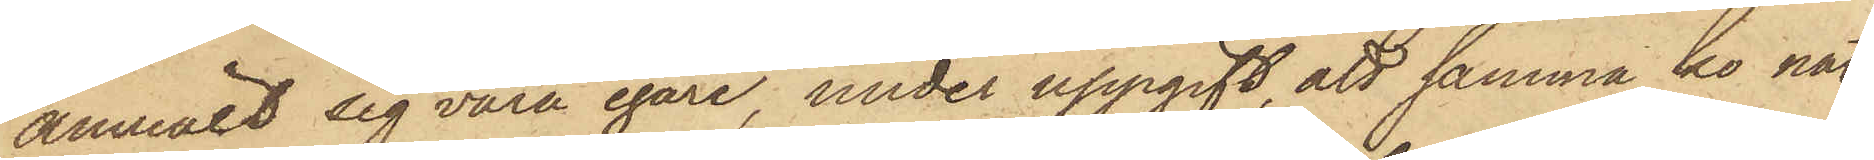anmält sig vara egare, under uppgift, att samma ko nat¬
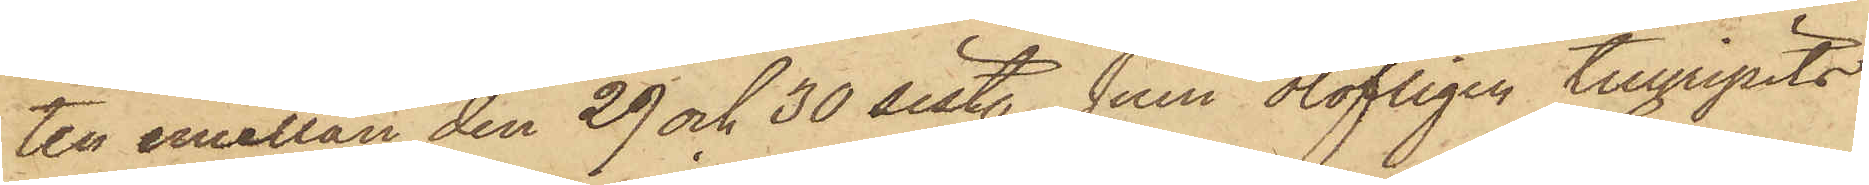ten emellan den 29 och 30 sistl. Juni olofligen tillgripits
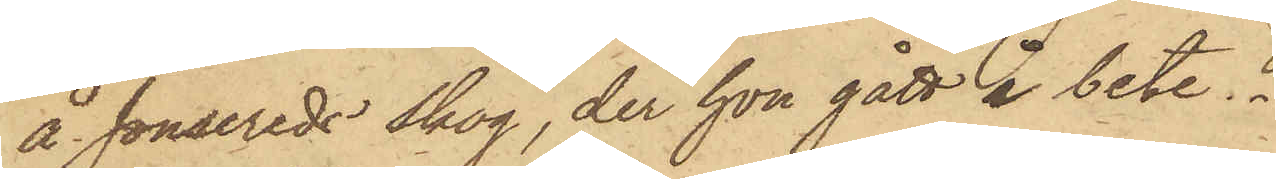å Jonsereds skog, der hon gått i bete.
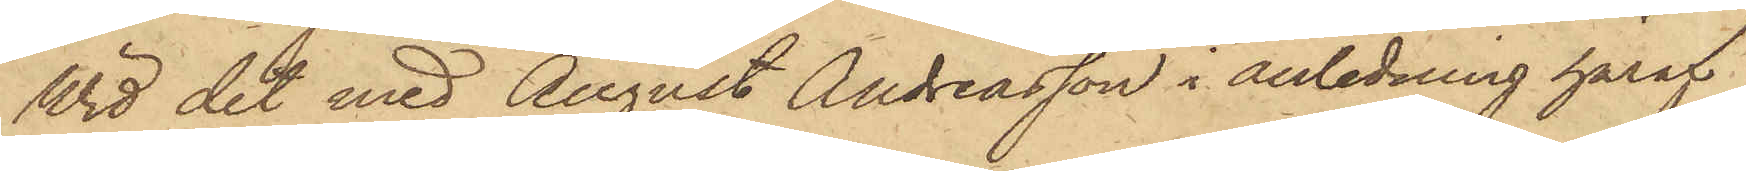Wid det med August Andreasson i anledning häraf
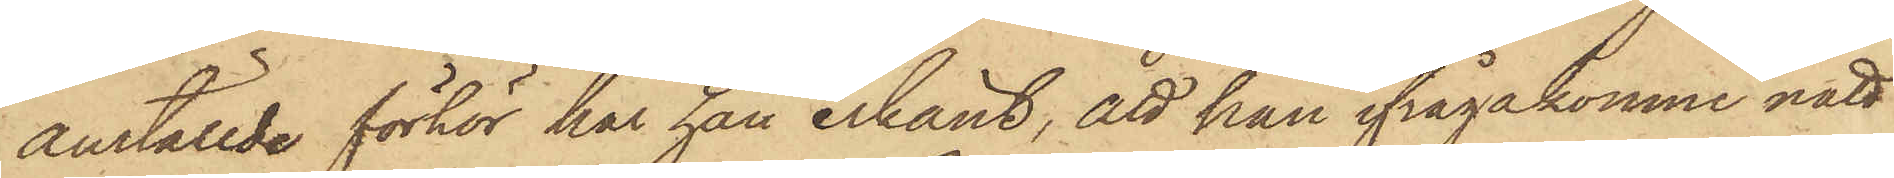anställde förhör har han erkänt, att han ifrågakomne natt
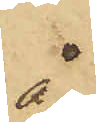å
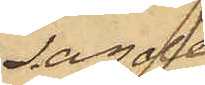sagde
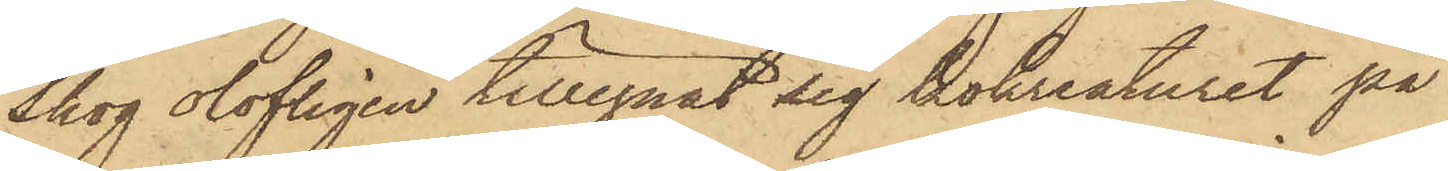Skog olofligen tillegnat sig kokreaturet på
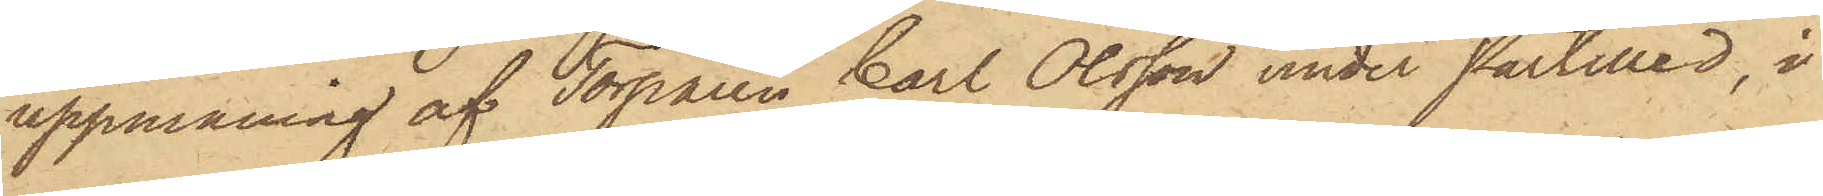uppmaning af Torparen Carl Olsson under Partilled, i
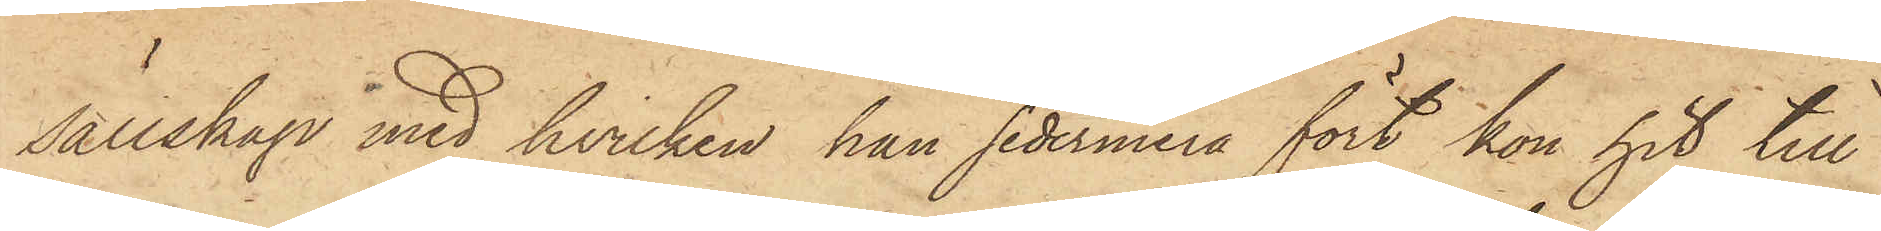sällskap med hvilken han sedermera fört kon hit till
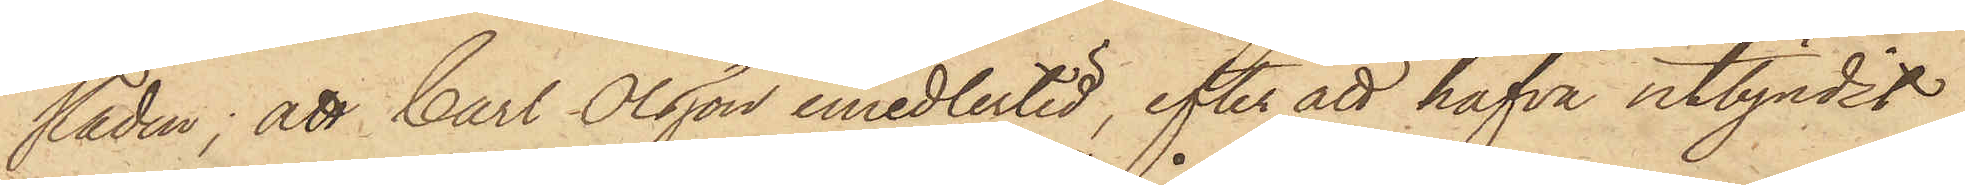staden; att Carl Olsson emedlertid, efter att hafva utbjudit
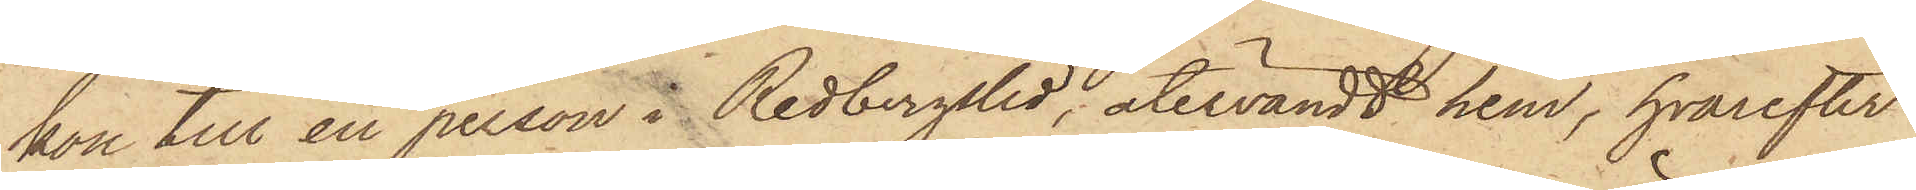kon till en person i Redbergslid, återvändt hem, hvarefter
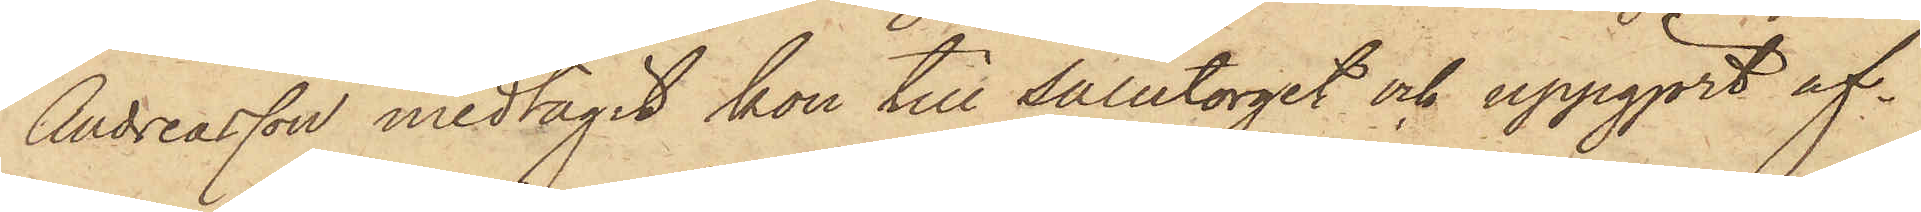Andreasson medtagit kon till Salutorget och uppgjort af¬
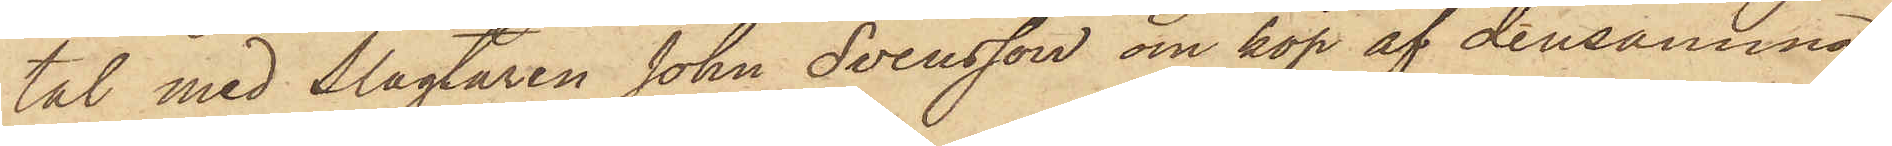tal med Slagtaren John Svensson om köp af densamma
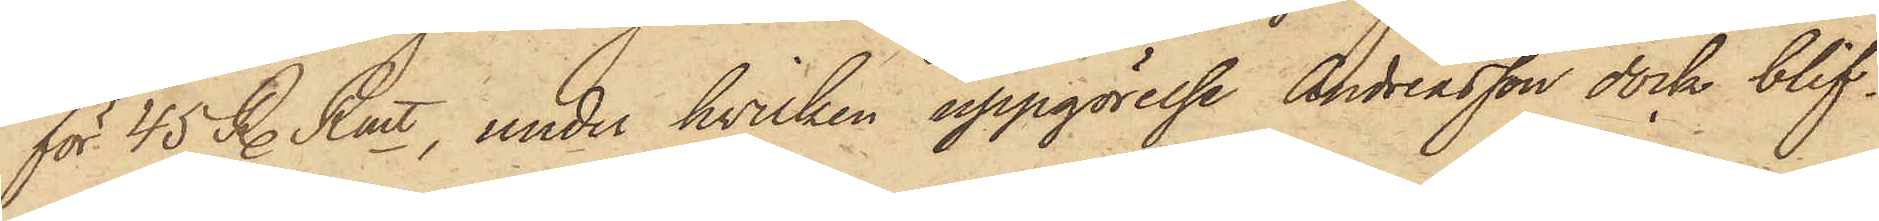för 45 R. Rmt, under hvilken uppgörelse Andreasson dock blif¬
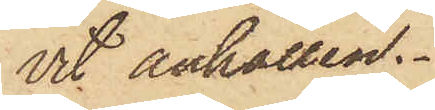vit anhållen.
